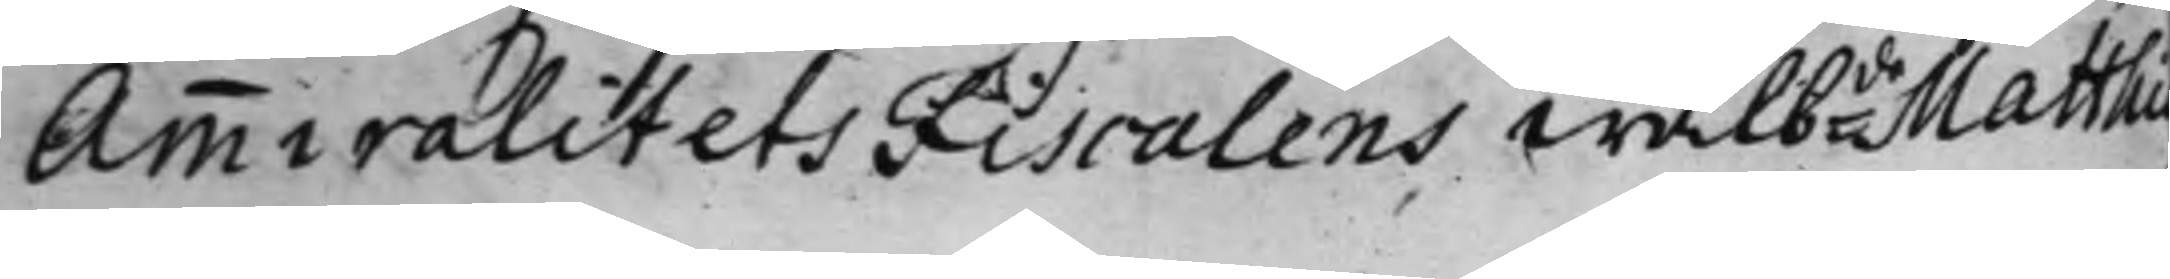AmmiralitetsFiscalens wälbde Matthia
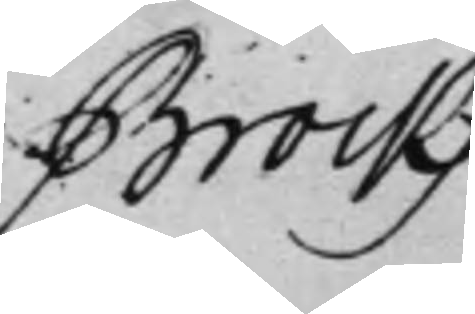Brockz
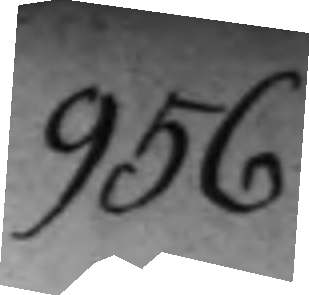956
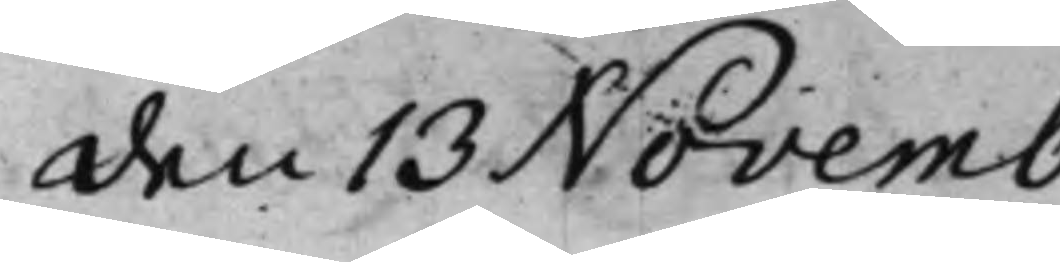den 13 Novemb
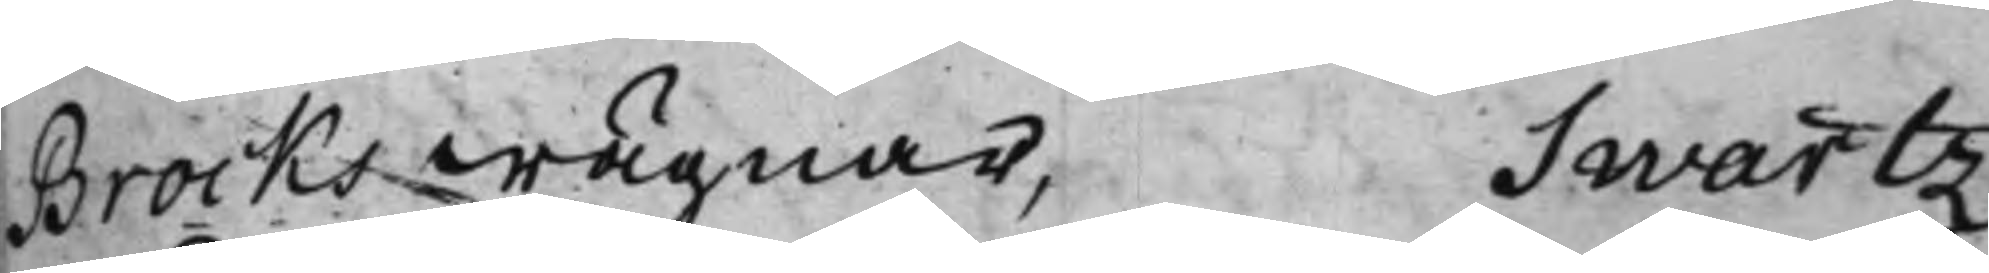Brocks wägnar, Swartz,
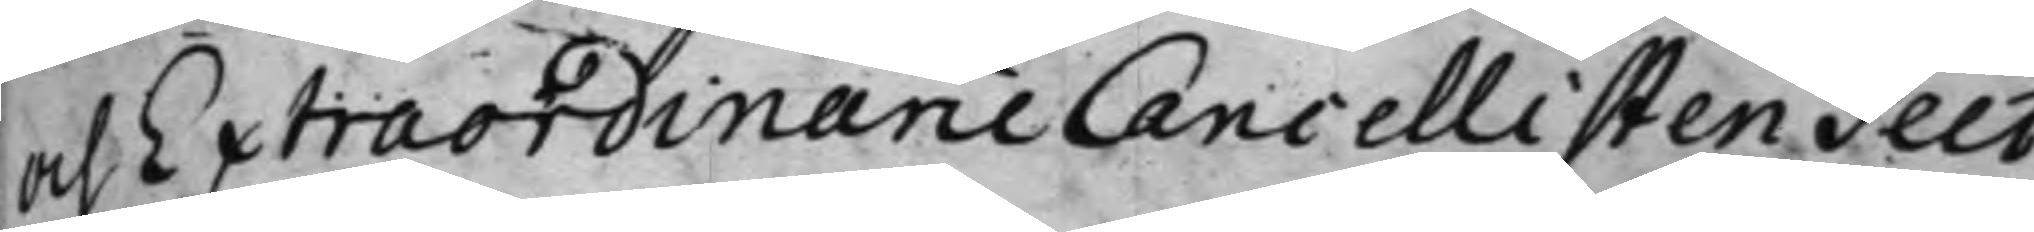och Extraordinarie Cancellisten Teet,
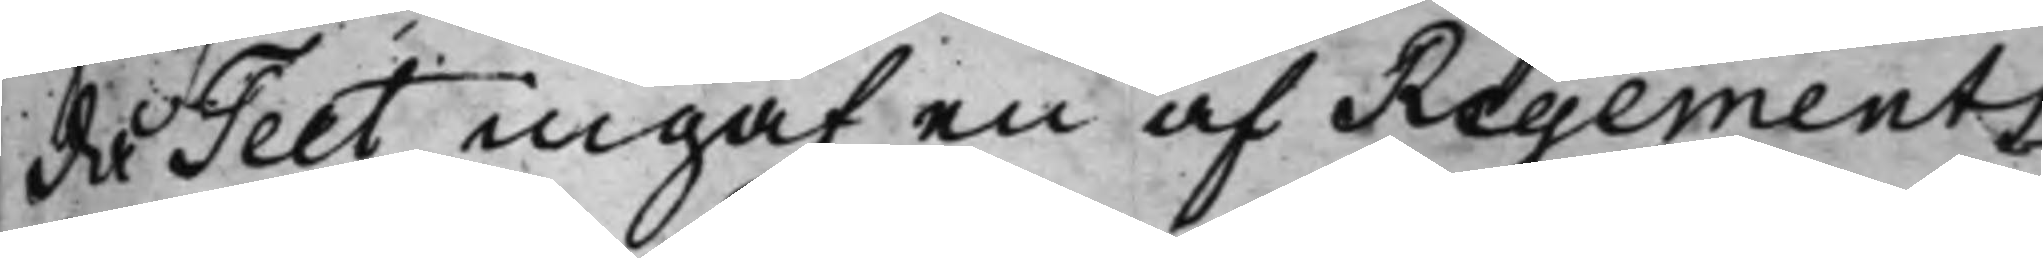då Teet ingaf en af Regements¬
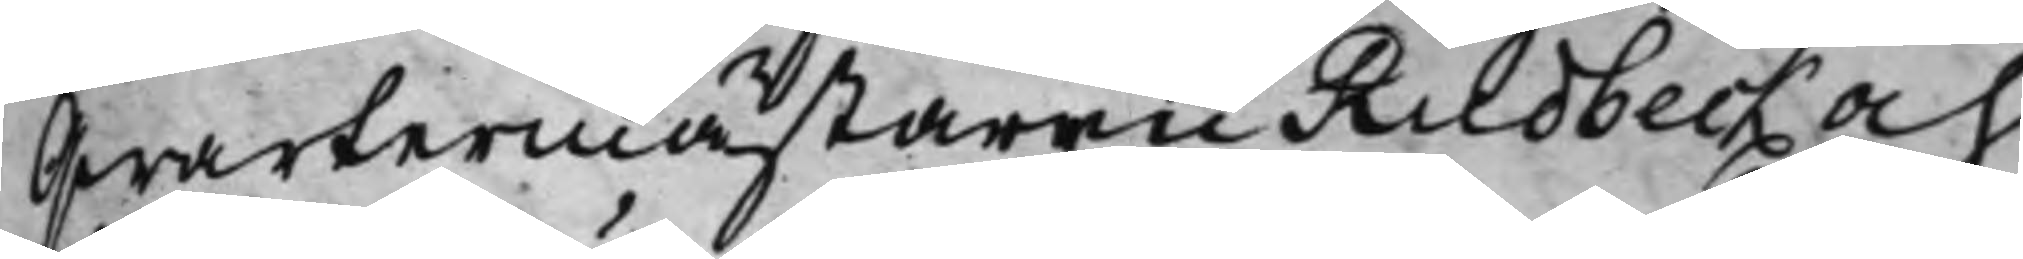Qwartermästaren Rudbeck och
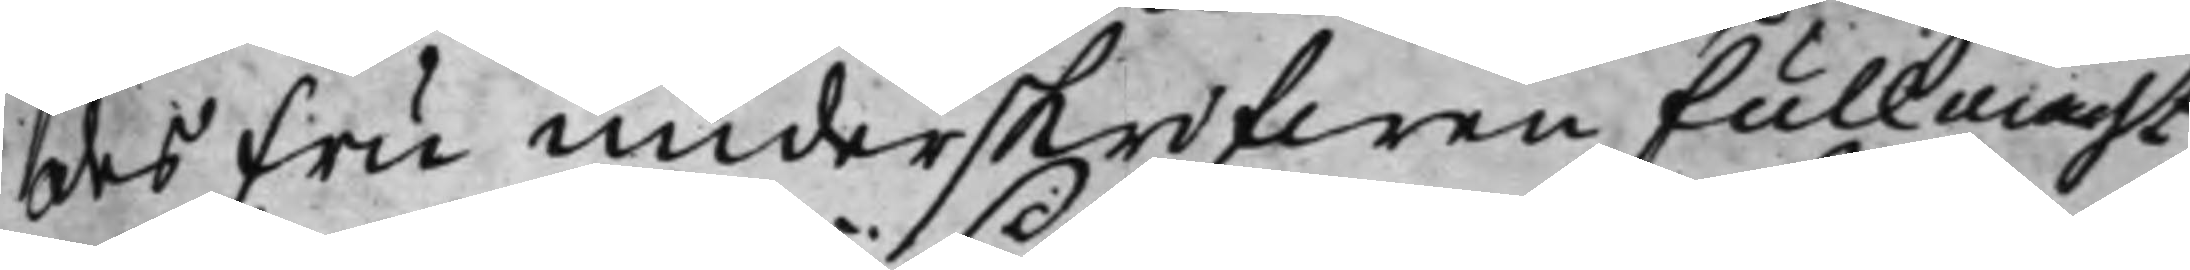des Fru underskrifwen fullmacht,
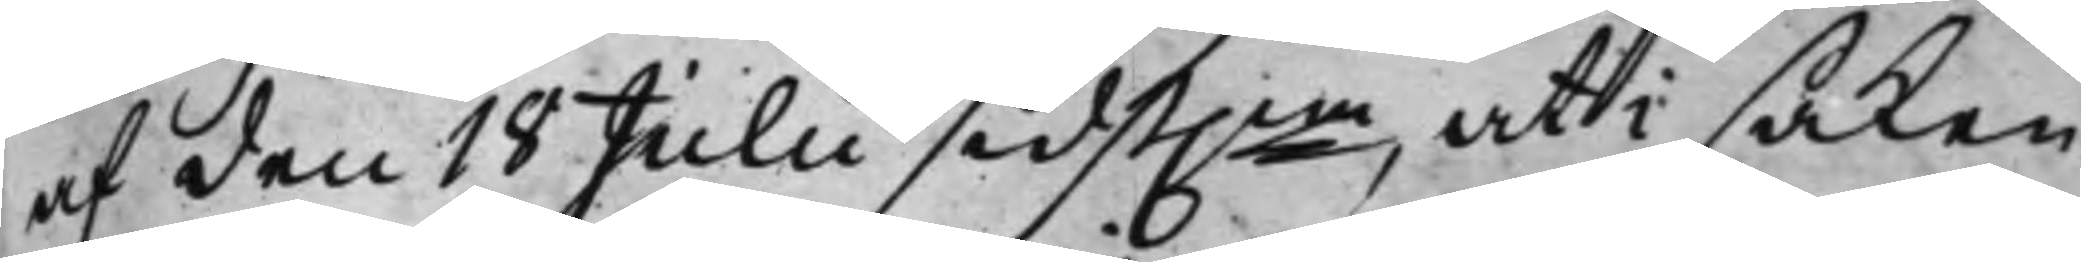af den 18 Julii sidst.ne, uti saken
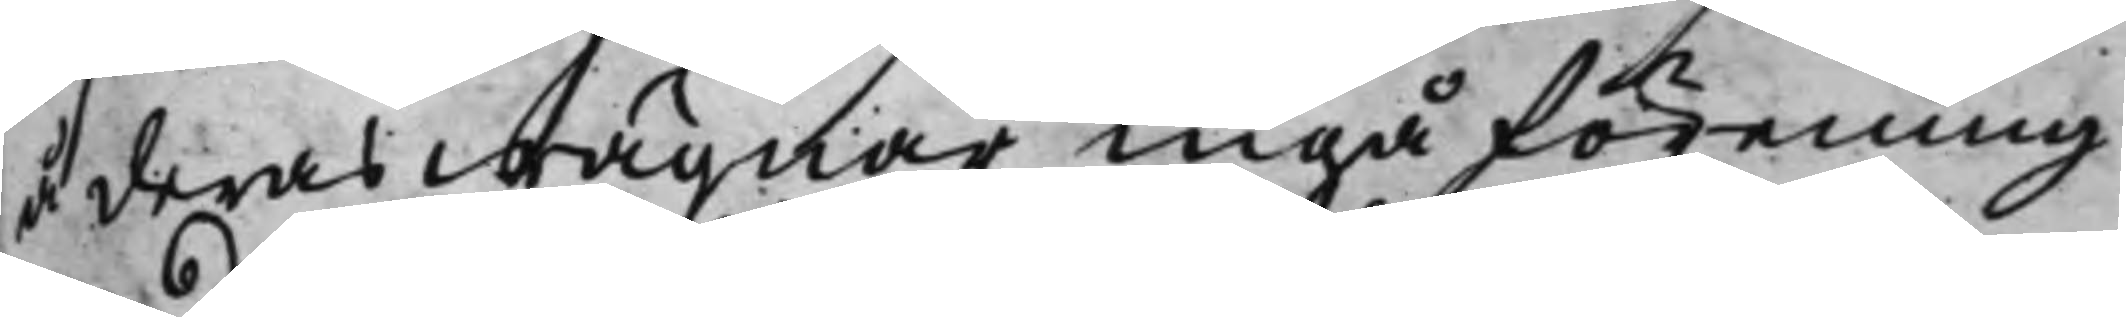å deras wägnar ingå förening
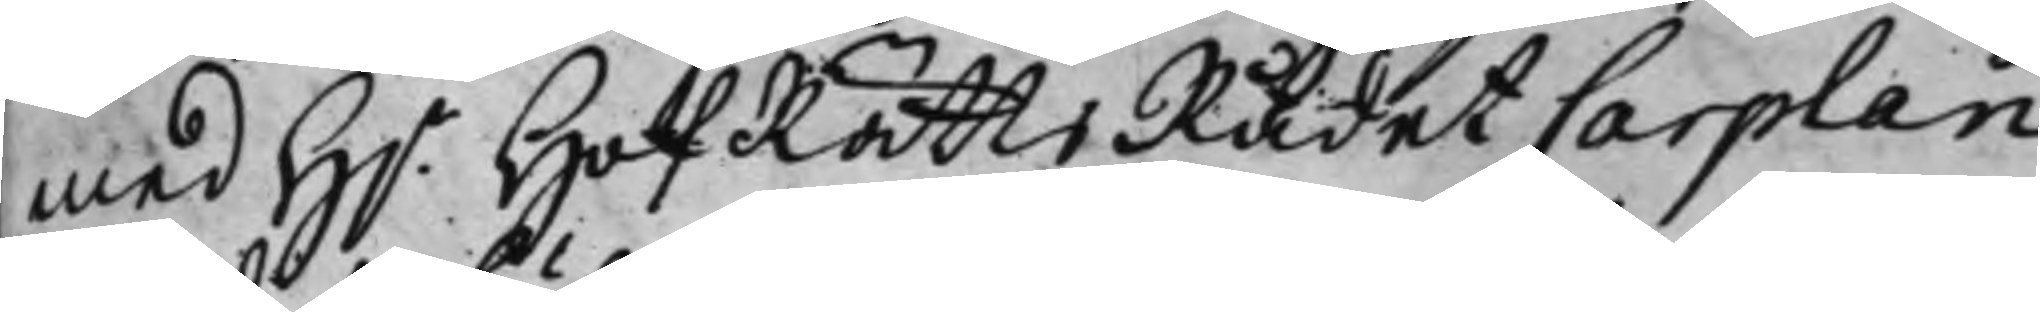med H.r HofRättsRådet Carplan
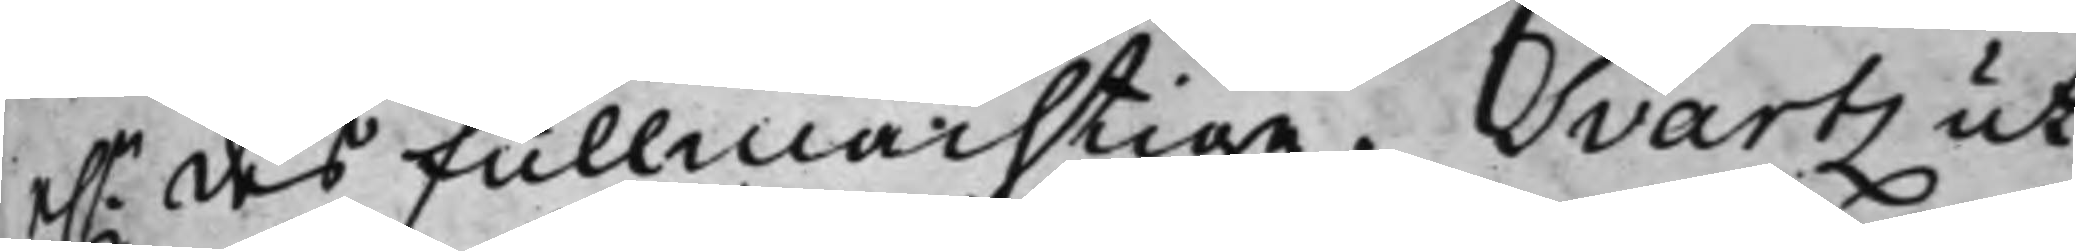e.r des Fullmächtige. Svartz ut¬
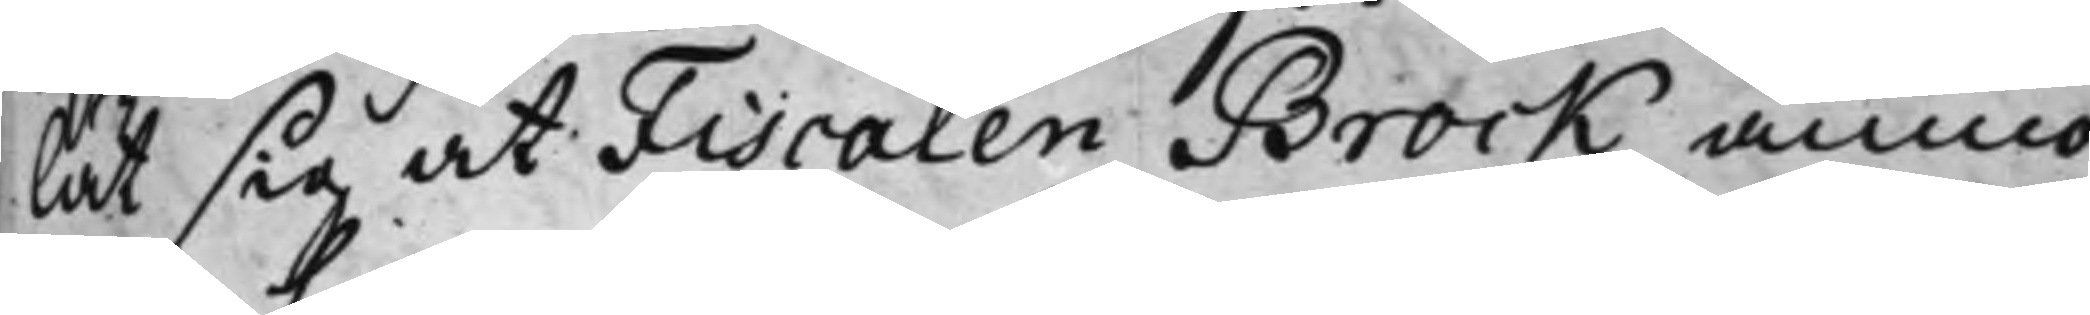lät sig at Fiscalen Brock anmo¬
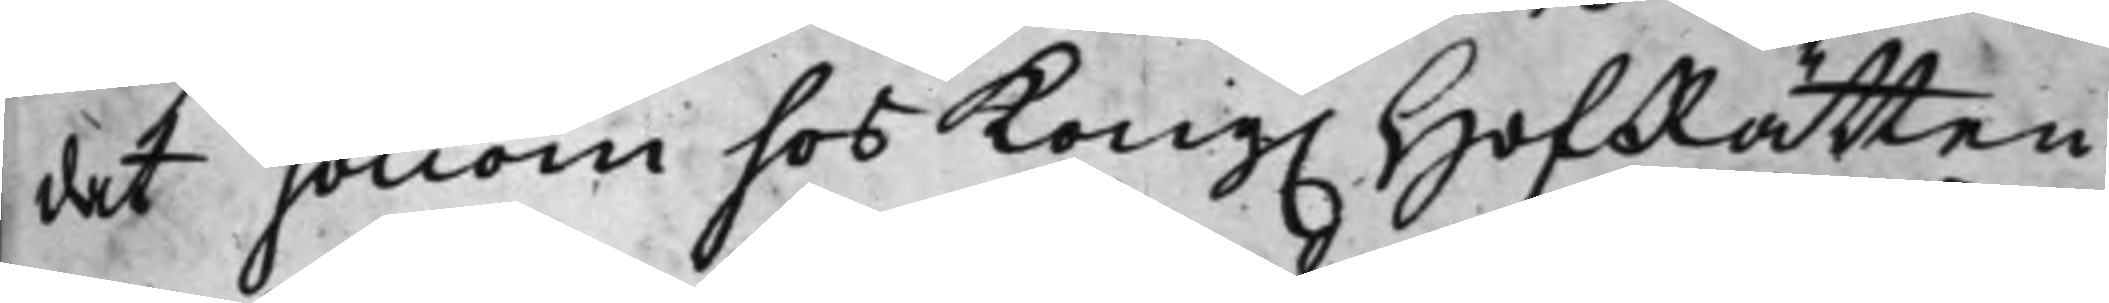dat honom hos Kong. HofRätten
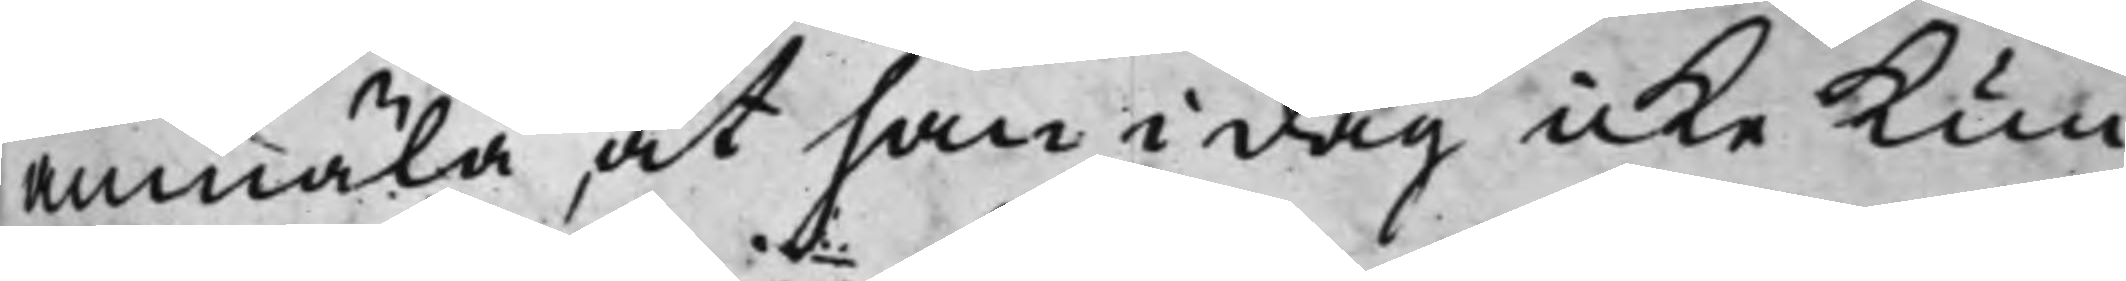anmäla at han i dag icke Kun¬
